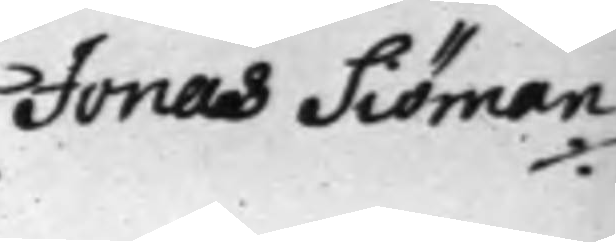Jonas Siöman
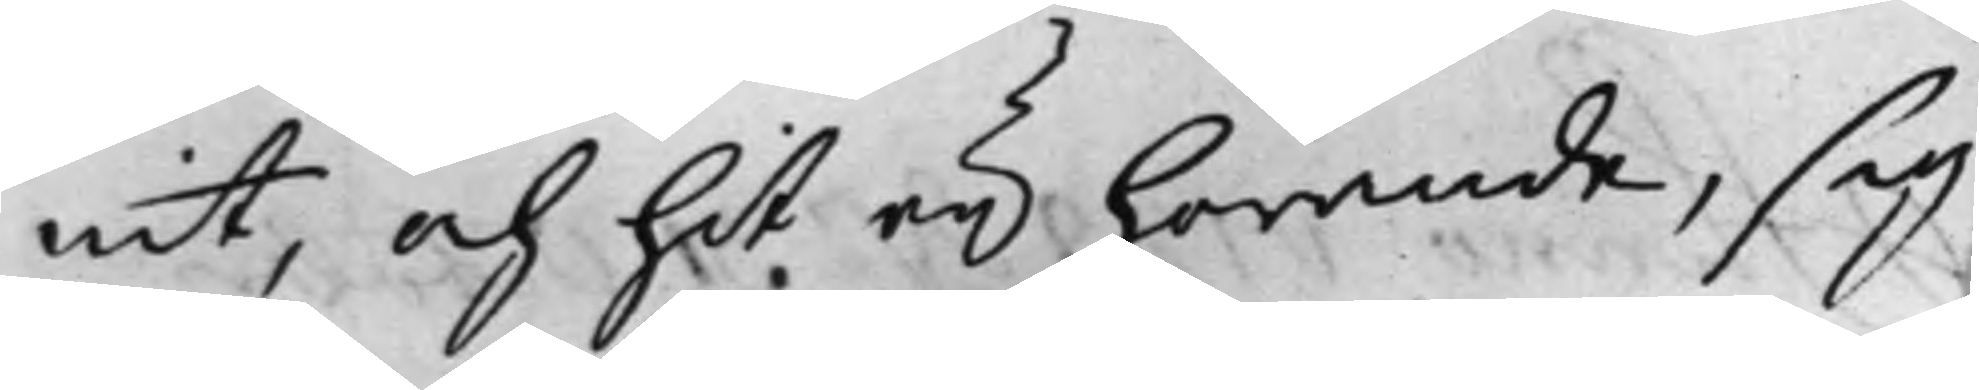nit, och hit eij hörande, sig
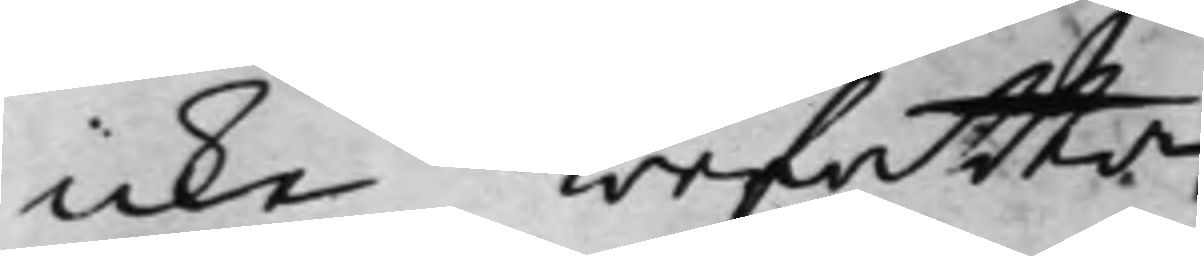icke befatta.
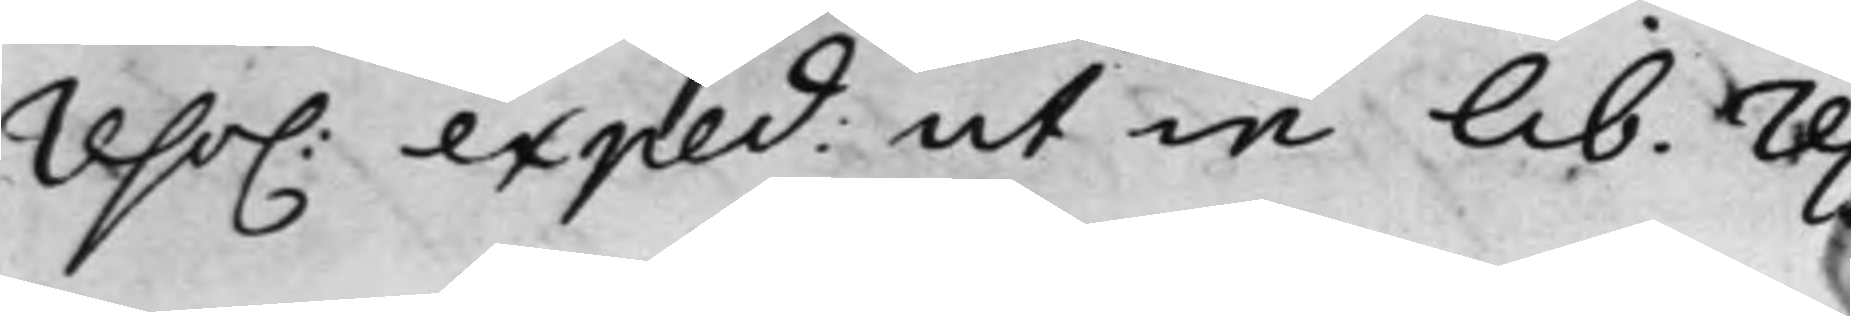reso. exped: ut in lib. res
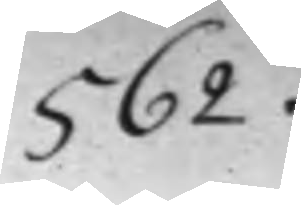562.
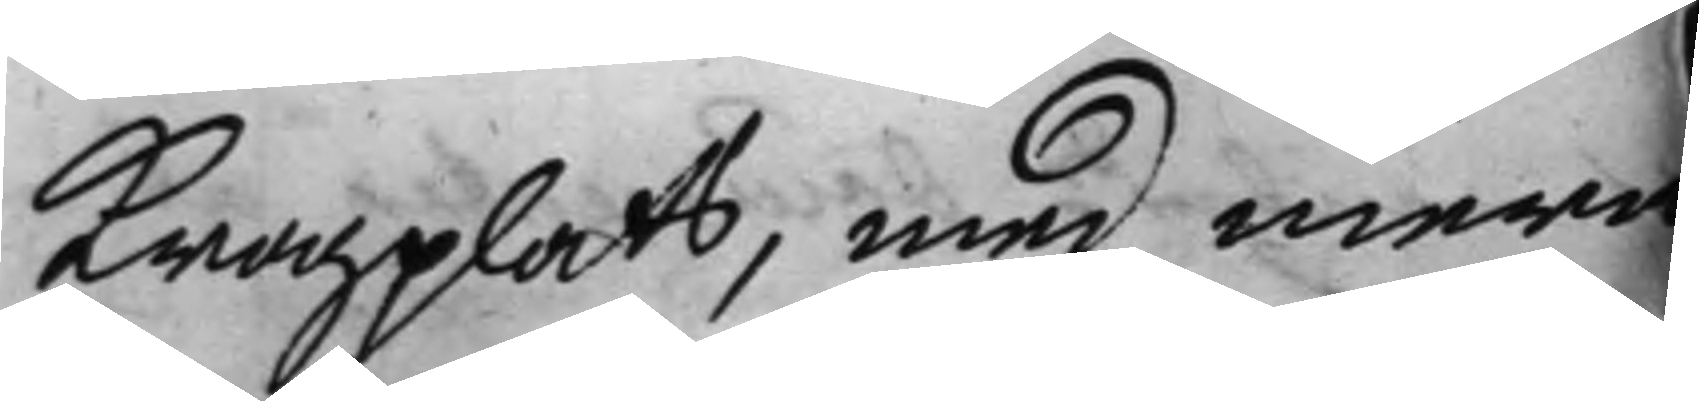Krogplats, med mera
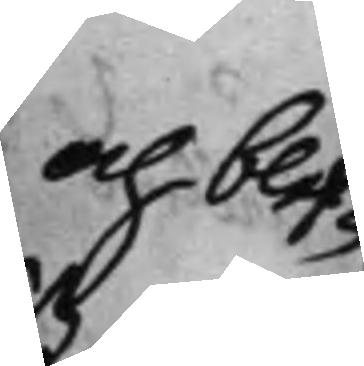och blef¬
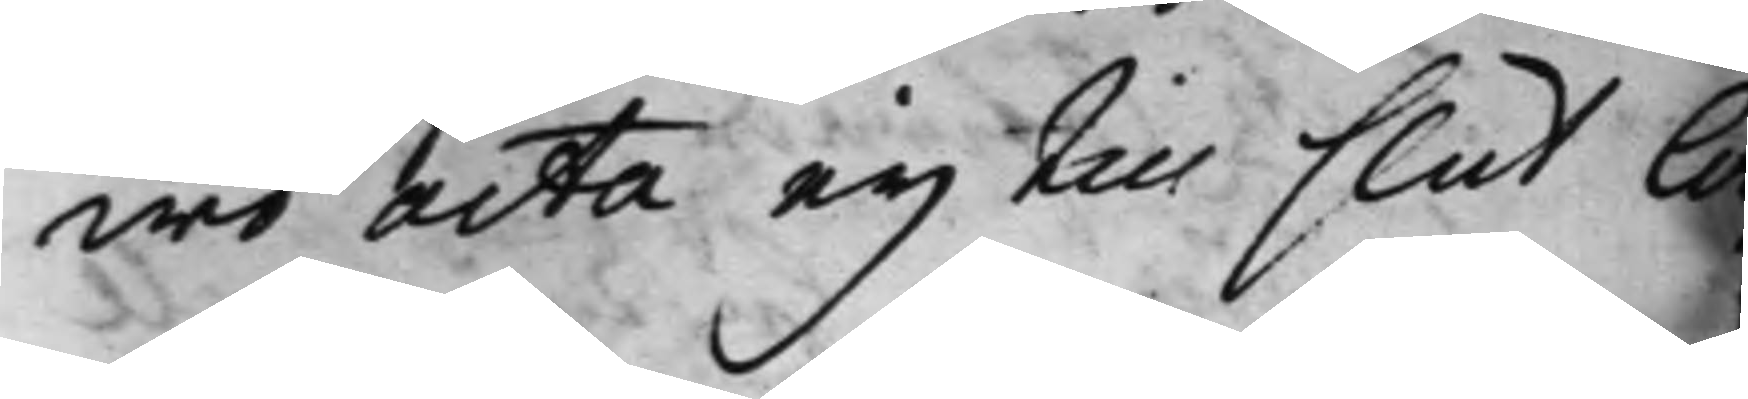wo acta eij till slut lä
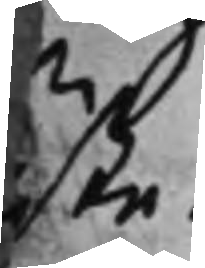ste.
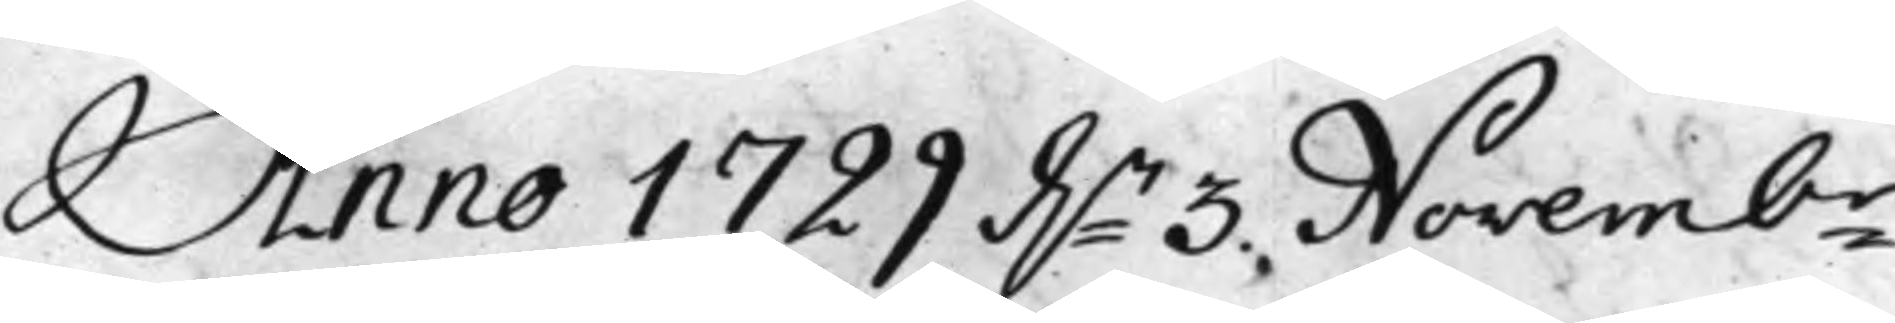Anno 1729 d.n 3. Novembr
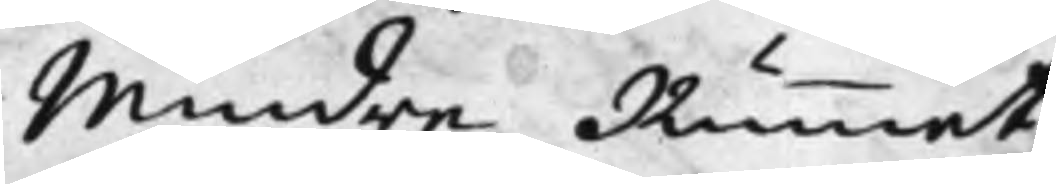Mindre Rummet.
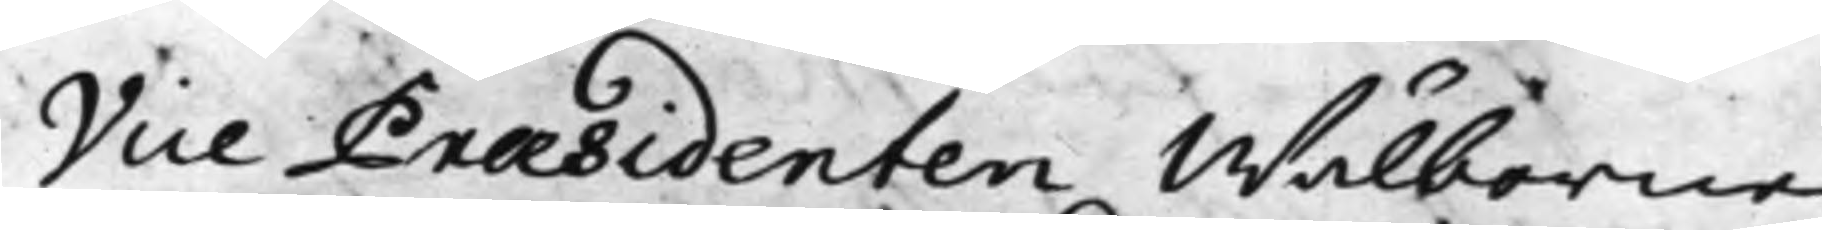Vice Præsidenten Wälborne
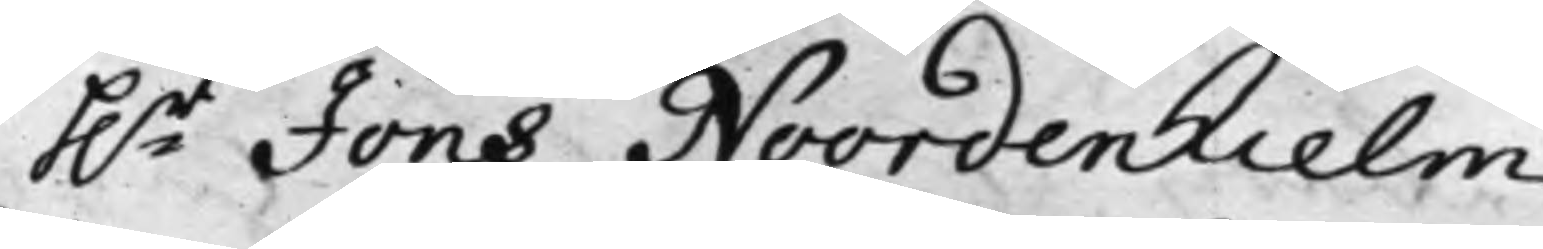h.r Jöns Noordenhielm
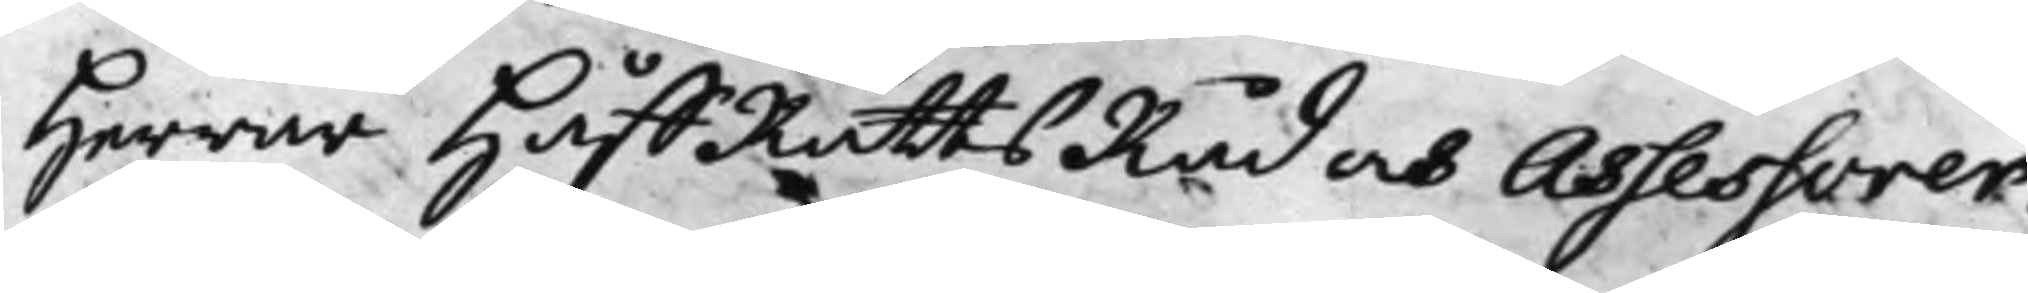Herrar HåffRättsRåd och Assessorer.
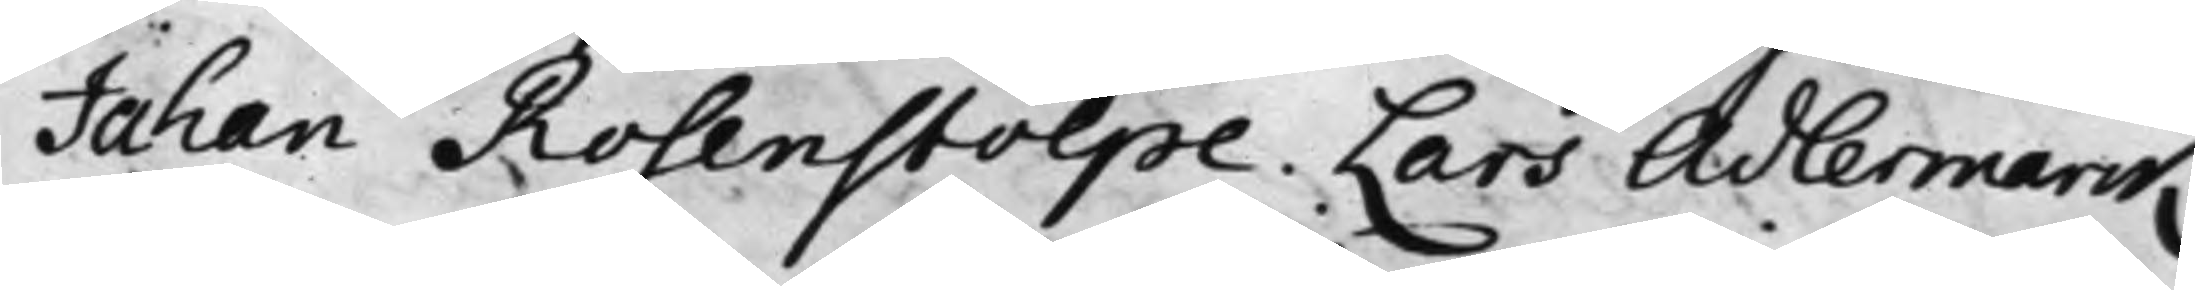Johan Rosenstolpe. Lars Adlermarck
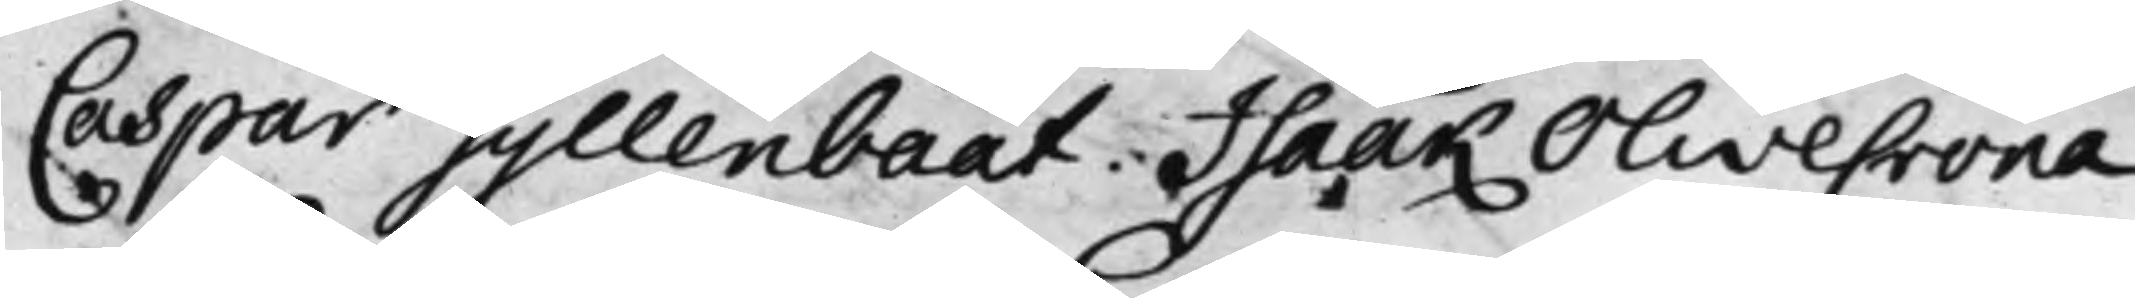Caspar Gyllenbååt. Isaak Olivecrona
